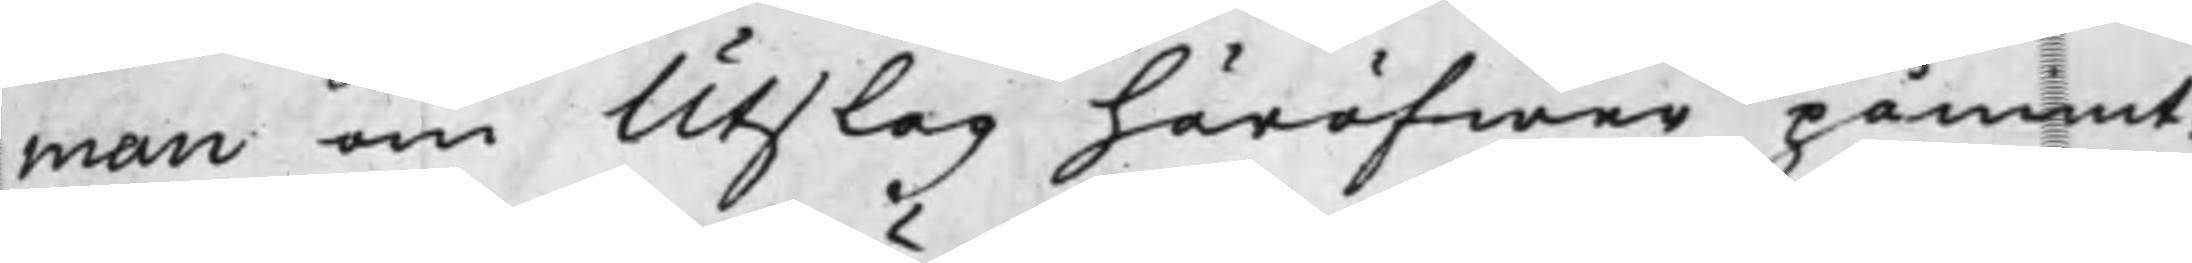man om Utslag häröfwer påmint:
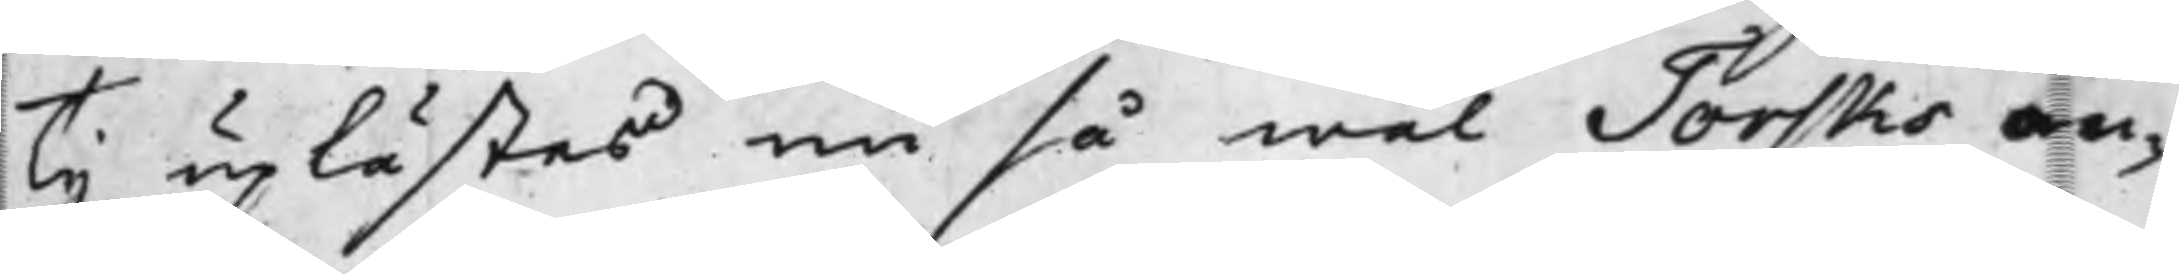Ty uplästes nu så wäl Torsks an¬
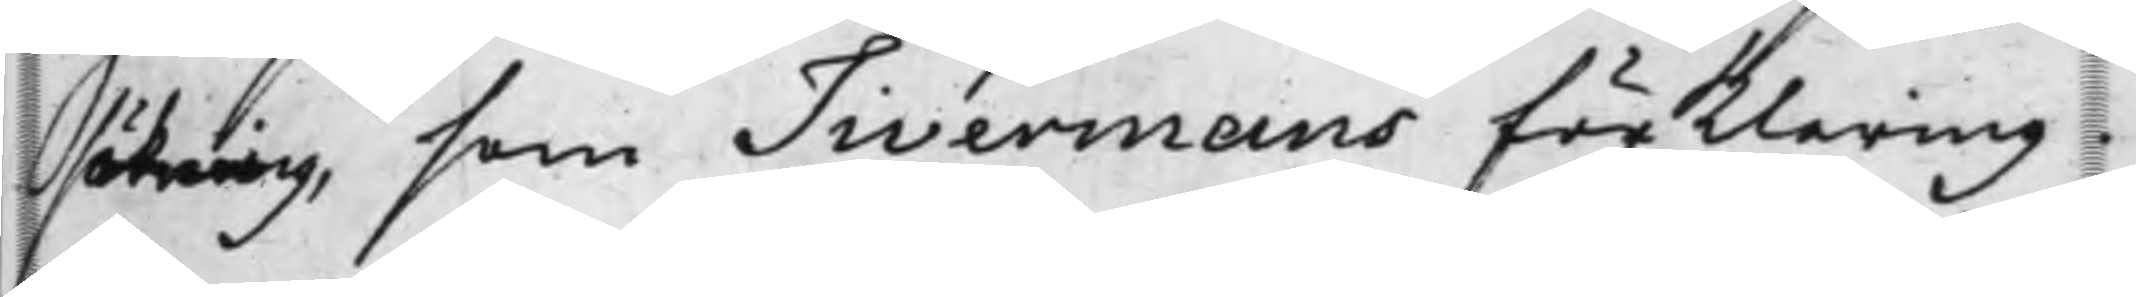sökning, som Tivermans förklaring.
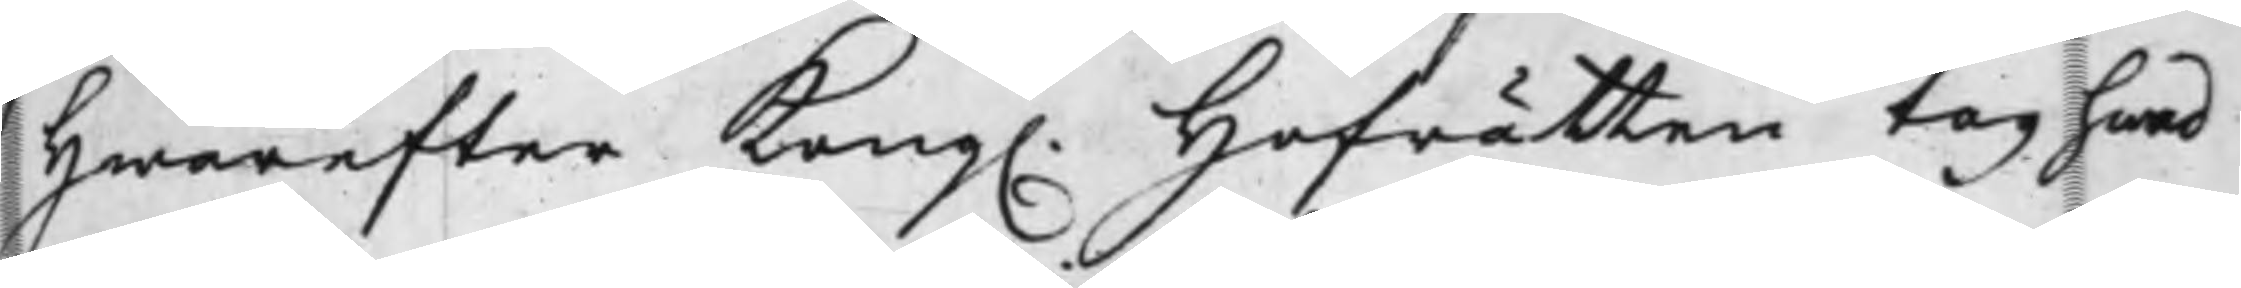Hwarefter Kong. Hofrätten tog hwad
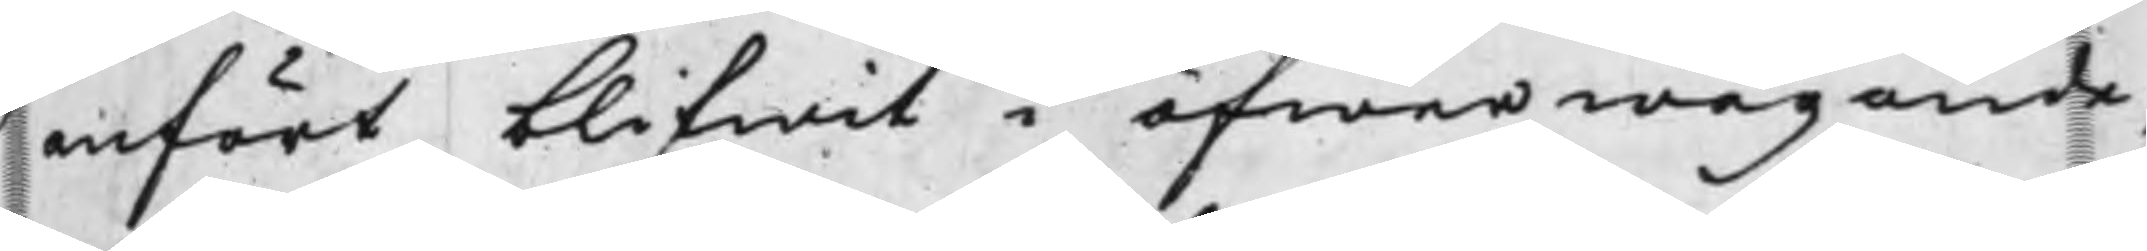anfört blifwit i öfwerwägande,
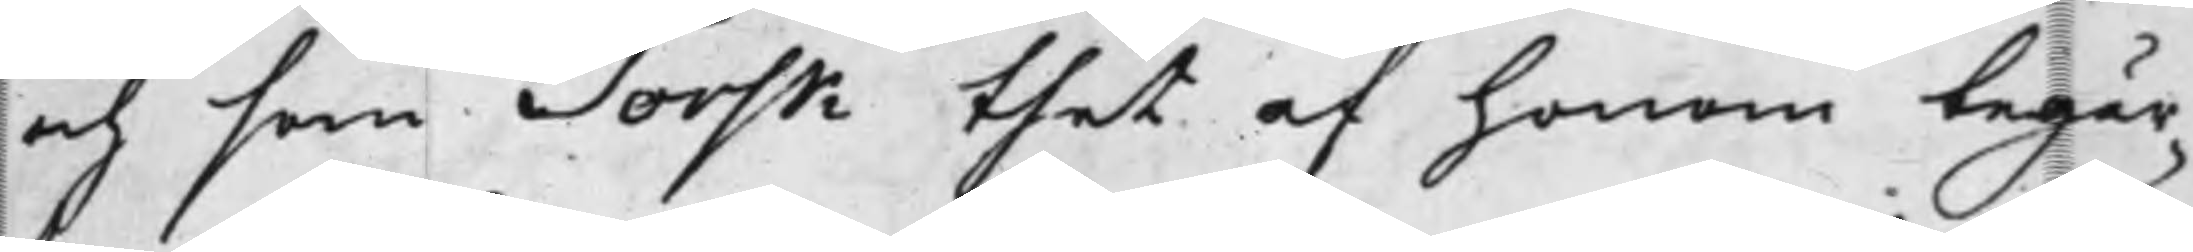och som Torsk thet af honom begär¬
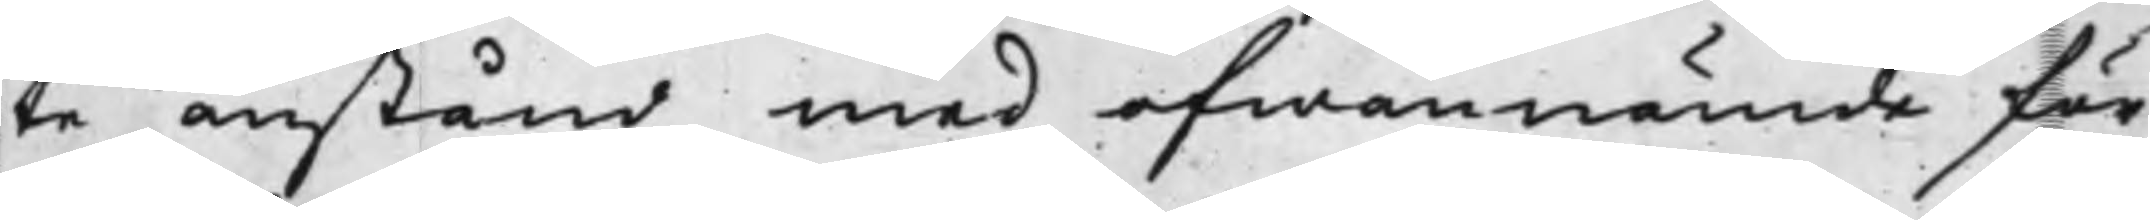ske anstånd med ofwannämde för¬
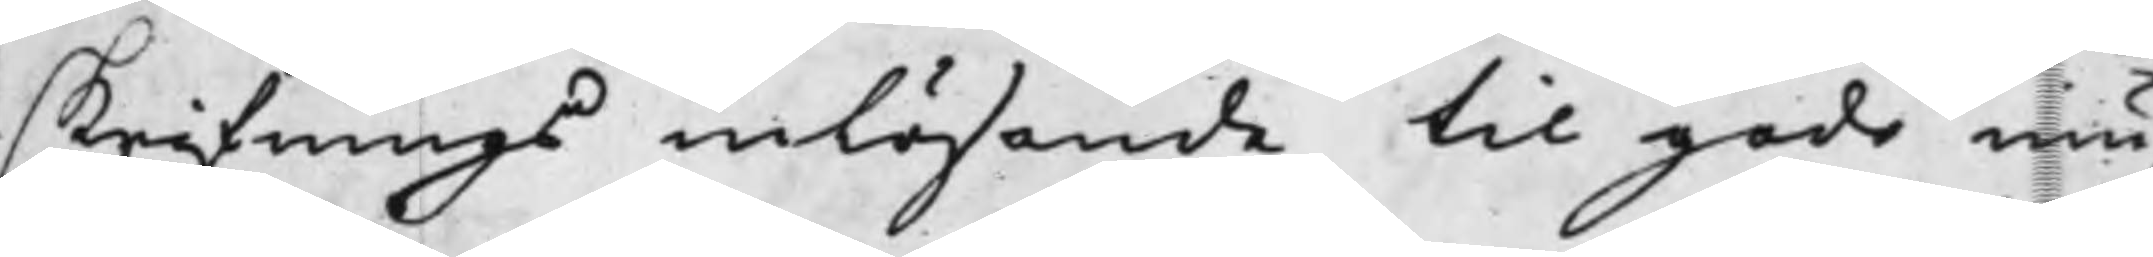skrifnings inlösande til godo niu¬
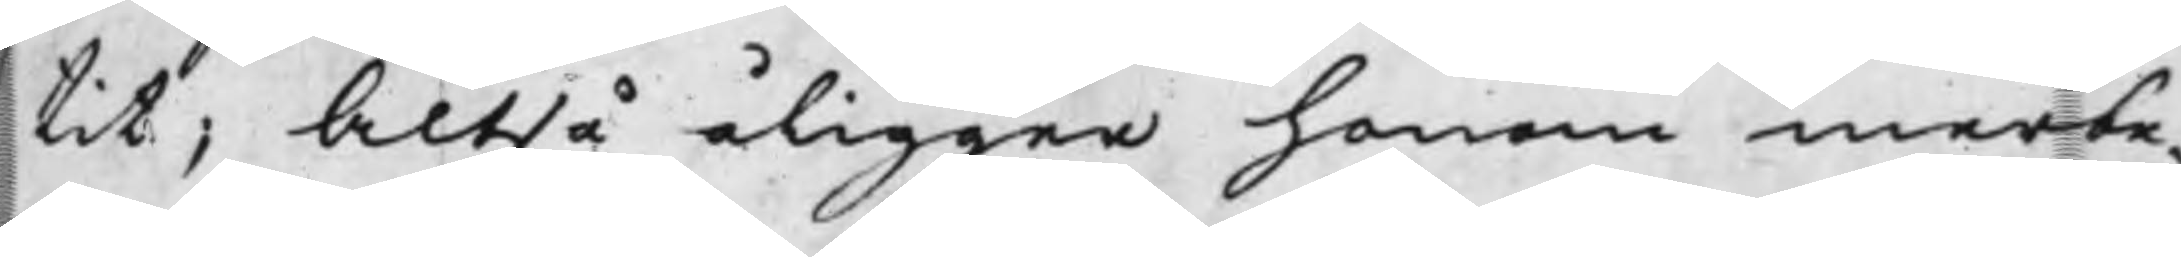tit; Altså åligger honom merbe¬
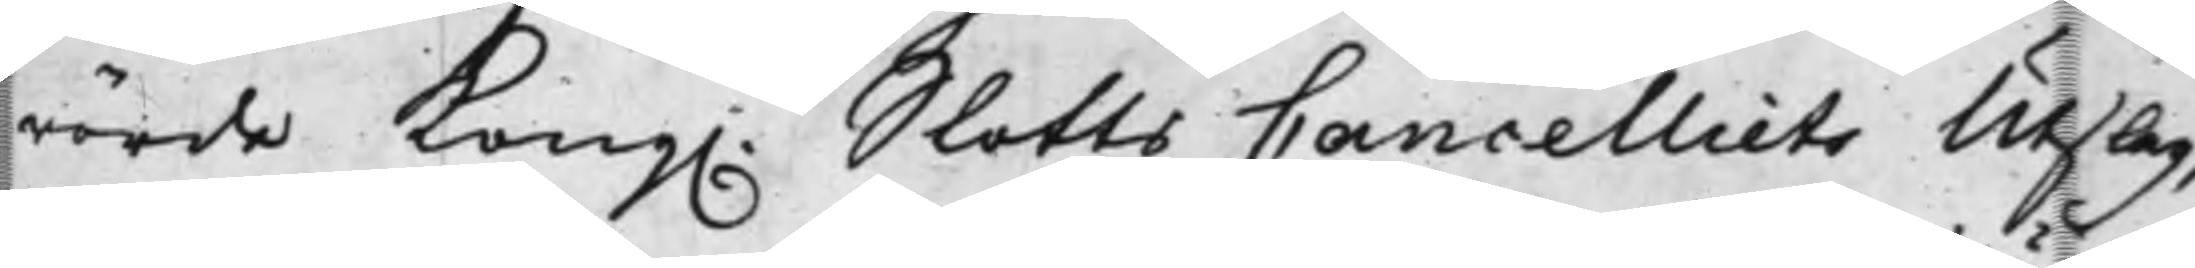rörde Kong. SlottsCancelliets Utslag,
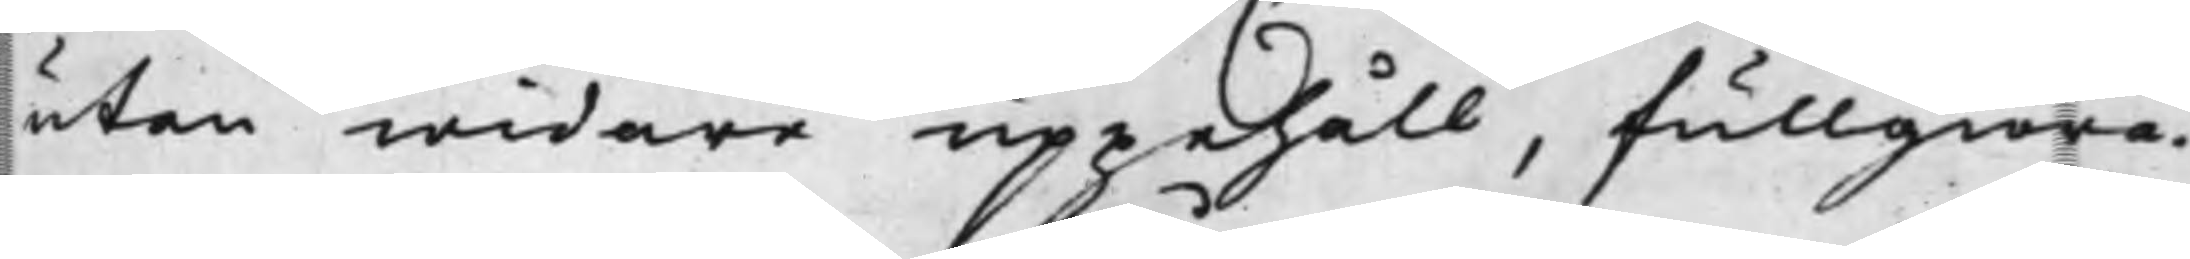utan widare uppehåll, fullgiöra.
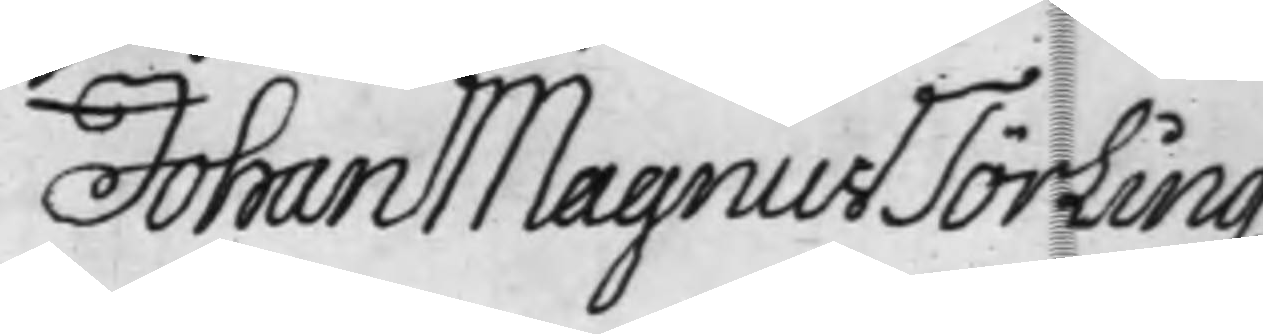Johan Magnus Törling
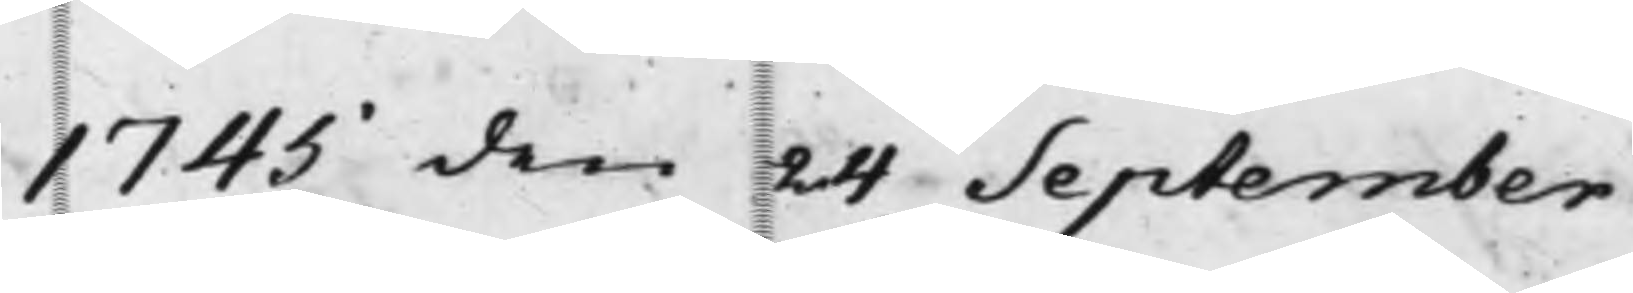1745 den 24 September
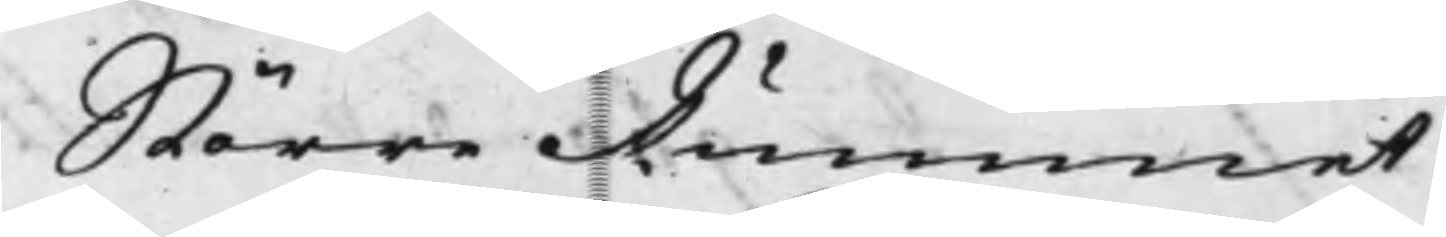Större Rummet
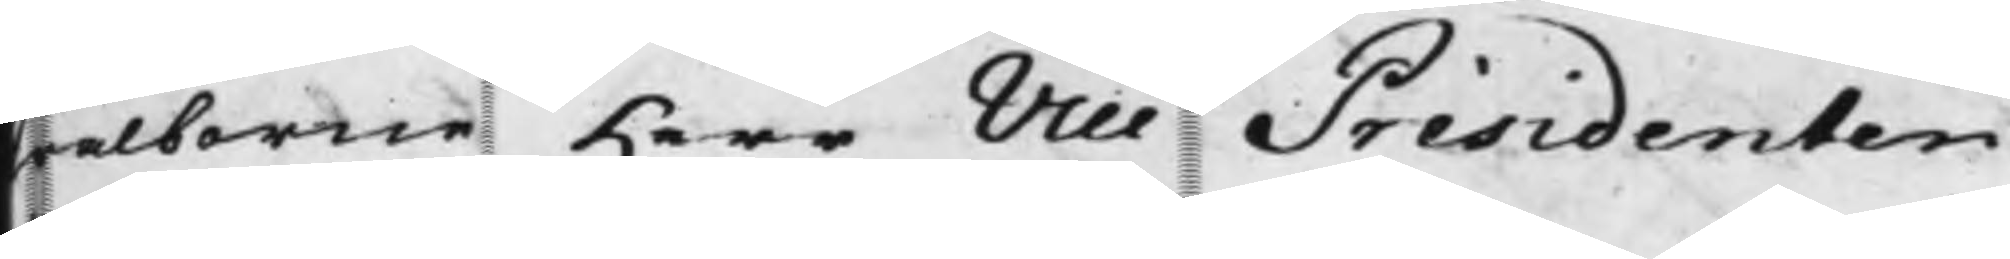Wälborne Herr Vice Présidenten
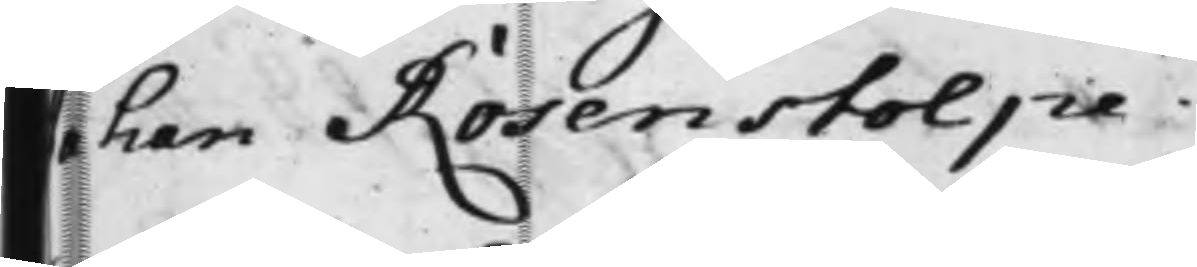Johan Rosenstolpe
